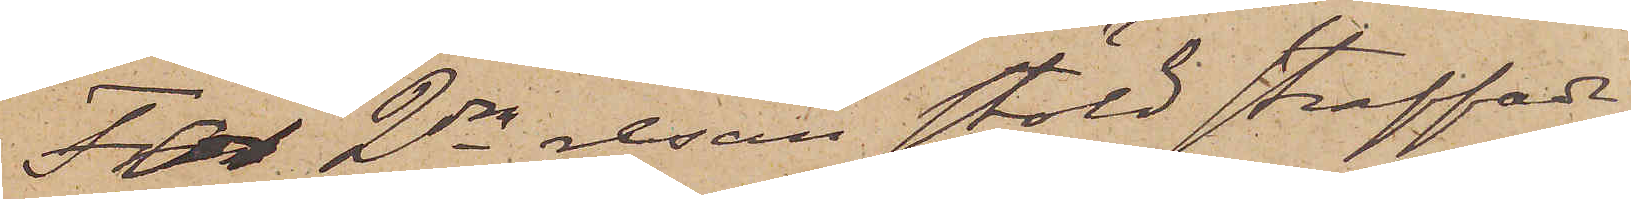För 2dra resan stöld straffade
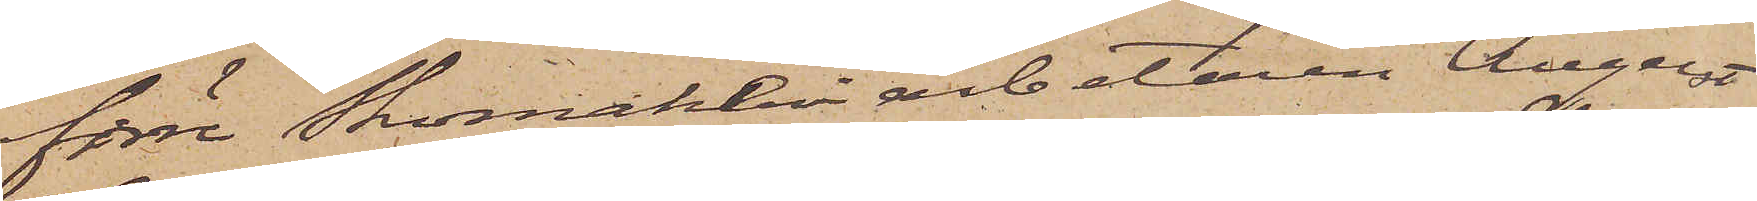förre Skomakeriarbetaren August
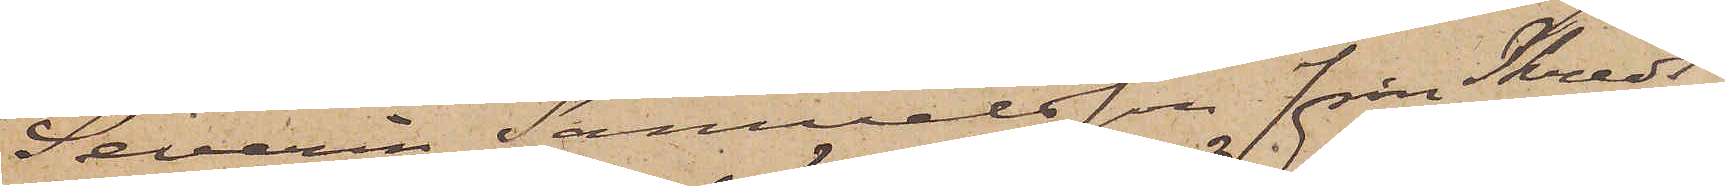Severin Samuelsson från Skreds¬
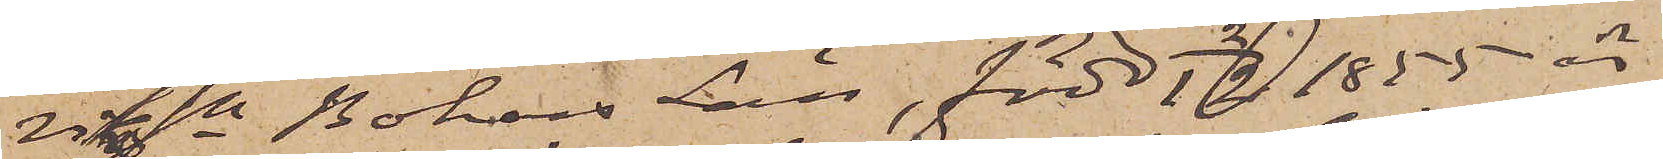viks sn Bohus Län, född 2/12 1855 är
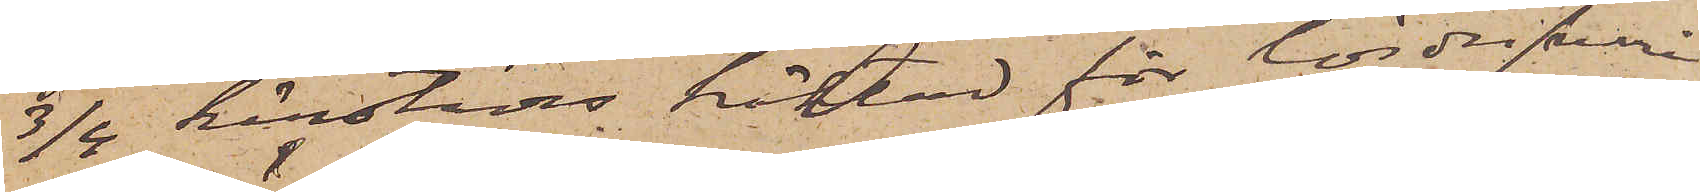3/4 härstädes häktad för lösdrifveri
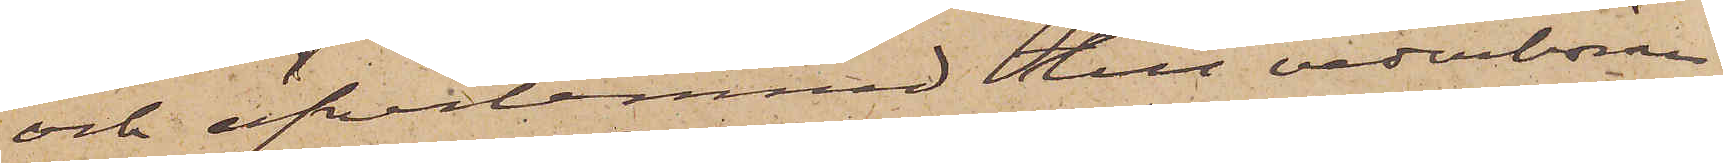och öfverlemnad till vederböran¬
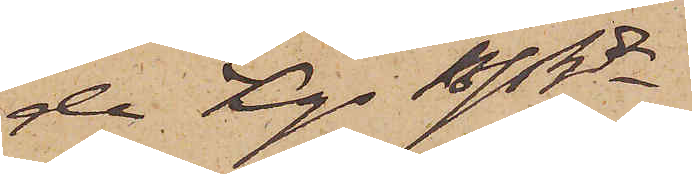de Kgs Bfshde.
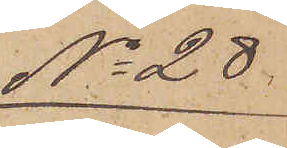No 28.
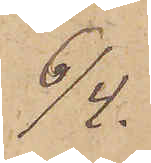6/4.
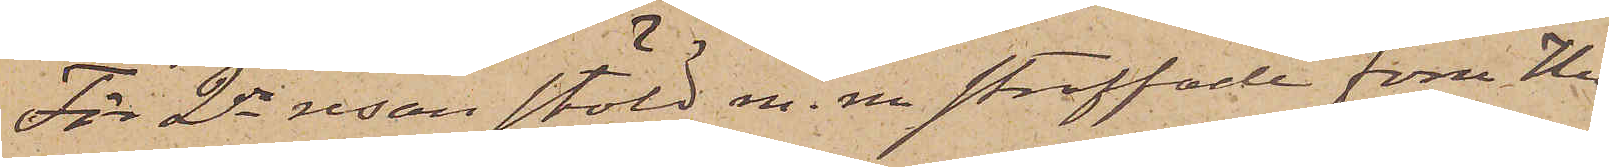För 2dra resan stöld m. m. straffade förre Hu¬
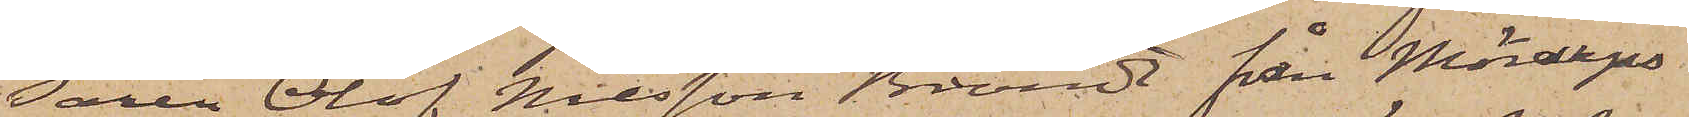saren Olof Nilsson Brand från Mörarps
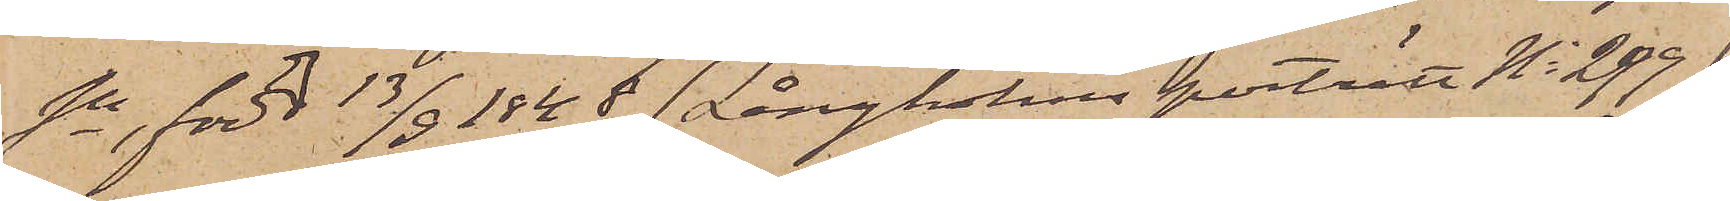sn, född 13/9 1848 (Långholms porträtt No 299),
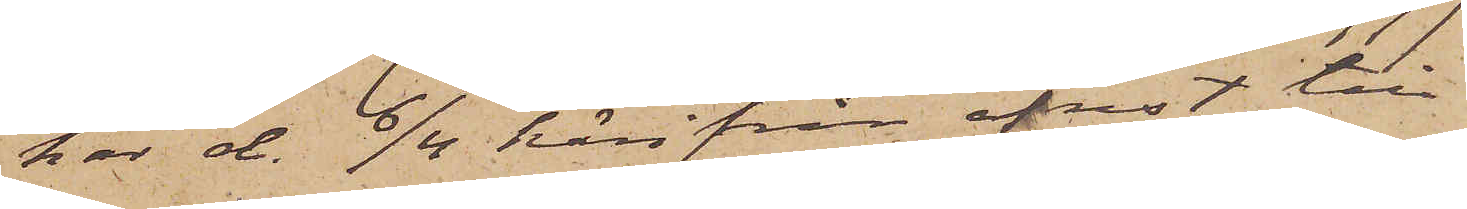har d. 6/4 härifrån afrest till
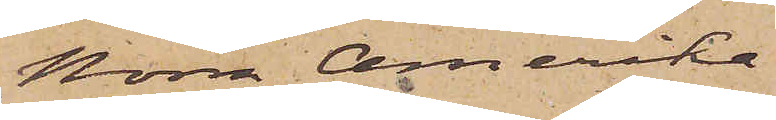Norra Amerika.
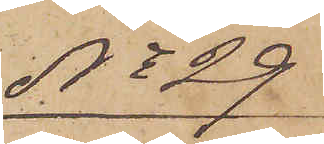No 29
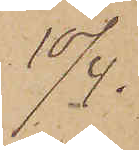10/4.
